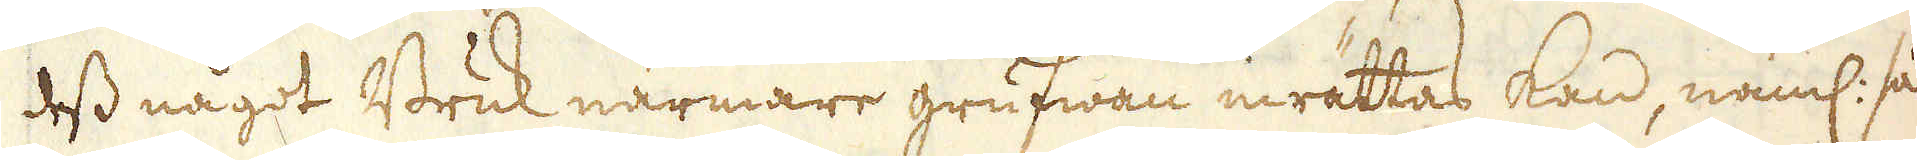dess något Bruk närmare grufwan inrättas kan, näml: så
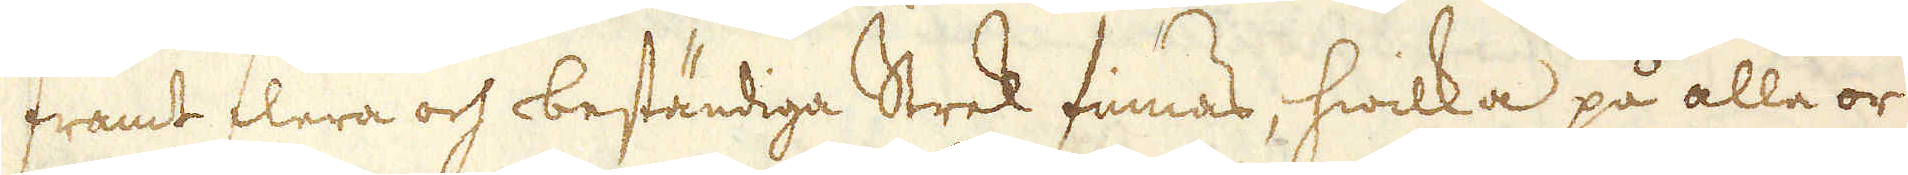framt flera och beständiga Strek finnas, hwilka på alla or-
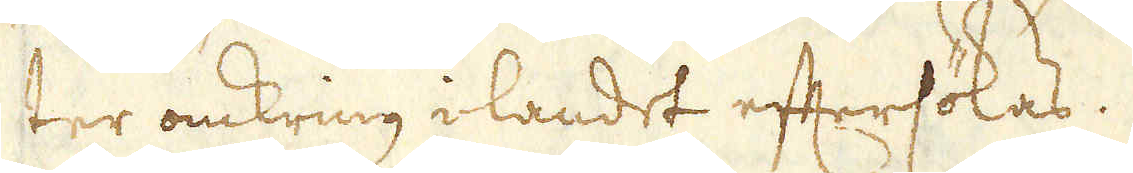ter omkring i landet eftersökas.
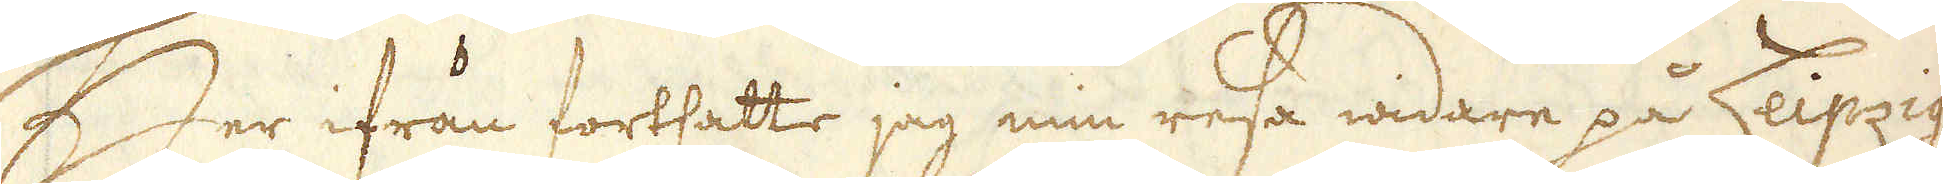Her ifrån fortsatte jag min resa widare på Leipzig,
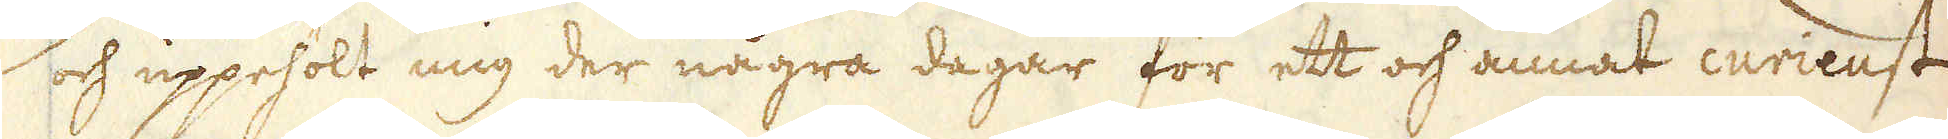och uppehölt mig der några dagar för ett och annat curieust
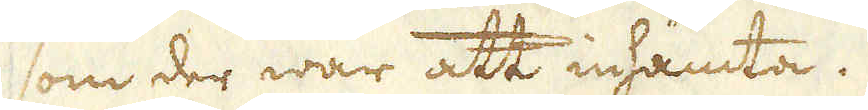som der war att inhämta.
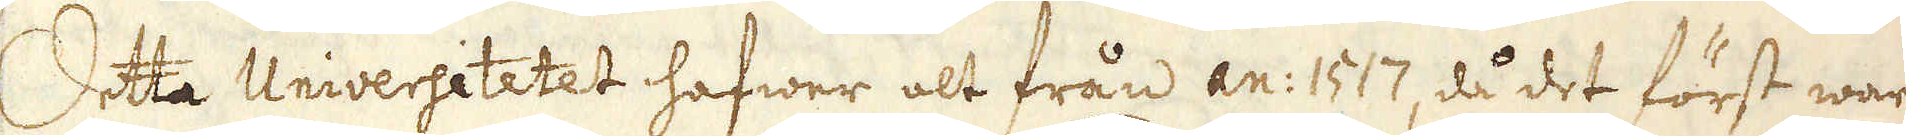Detta Universitetet hafwer alt från an: 1517, då det först wardt
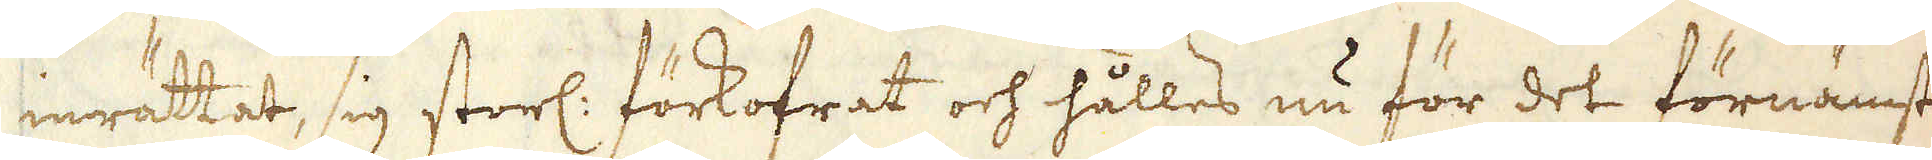inrättat, sig storl: förkofrat och hålles nu för det förnämsta
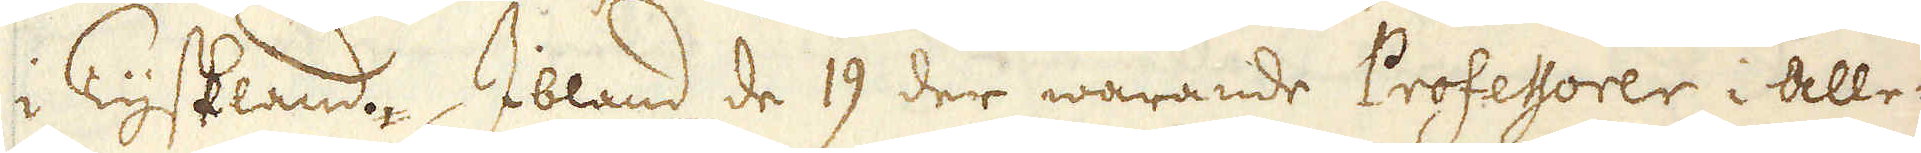i Tyskland. Ibland de 19 der warande Professorer i alle-
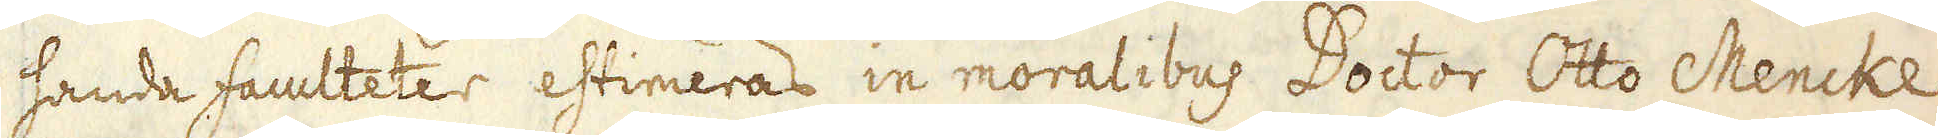handa faculteter estimeras in moralibus Doctor Otto Mencke
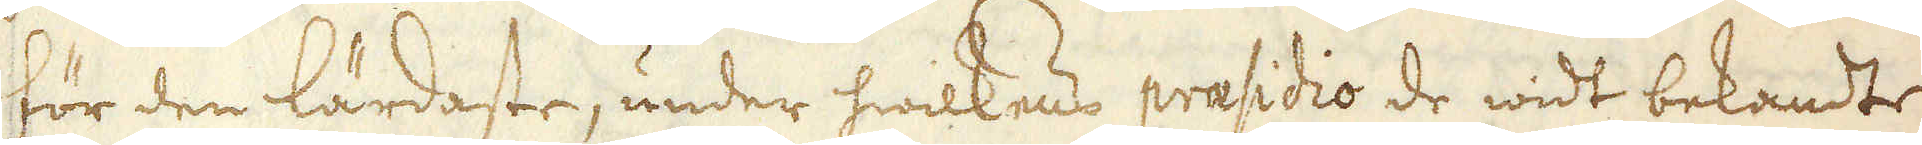för den lärdaste, under hwilkens praesidio de widt bekandte
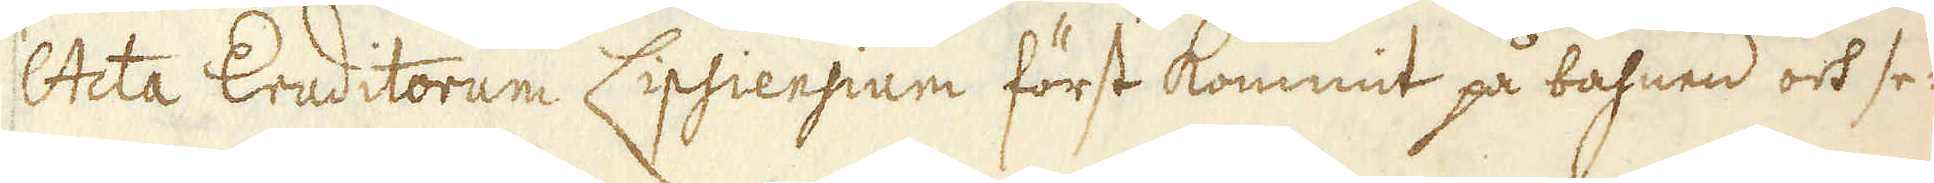Acta Eruditorum Lipsiensium först kommit på bahnen och se-
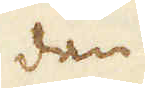dan
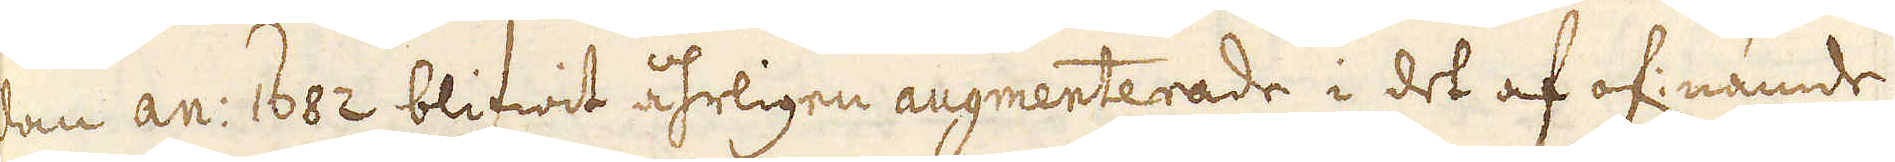dan an: 1682 blifwit åhrligen augmenterade i det af of: nämde
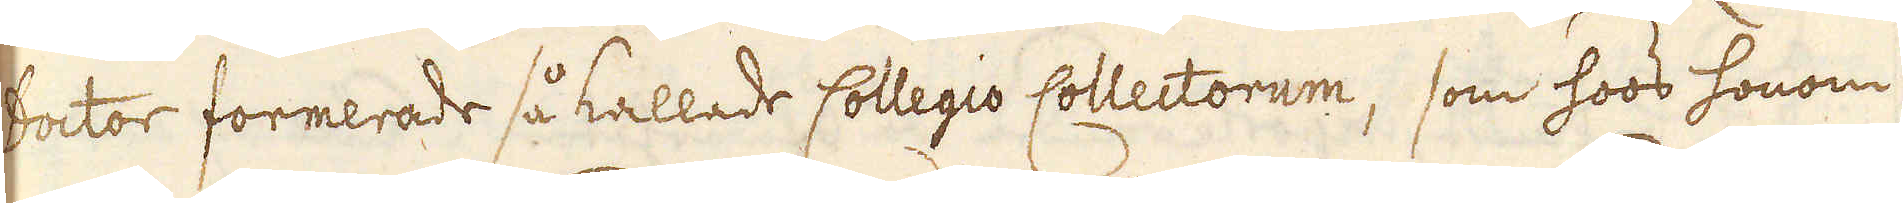Doctor formerade så kallade Collegio Collectorum, som hoos honom
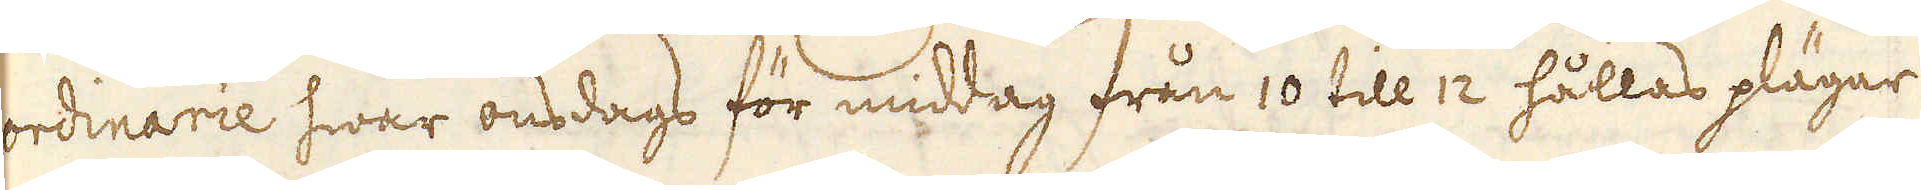ordinarie hwar onsdags för middag från 10 till 12 hållas plägar
